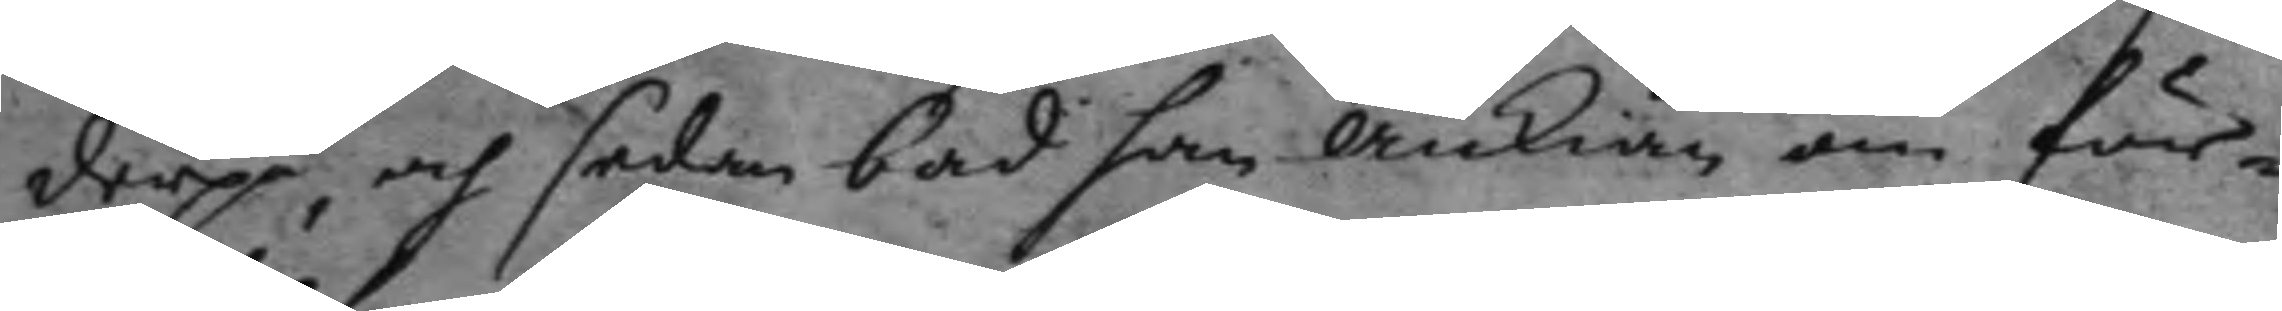derpå, och sedan bad han änkian om för¬
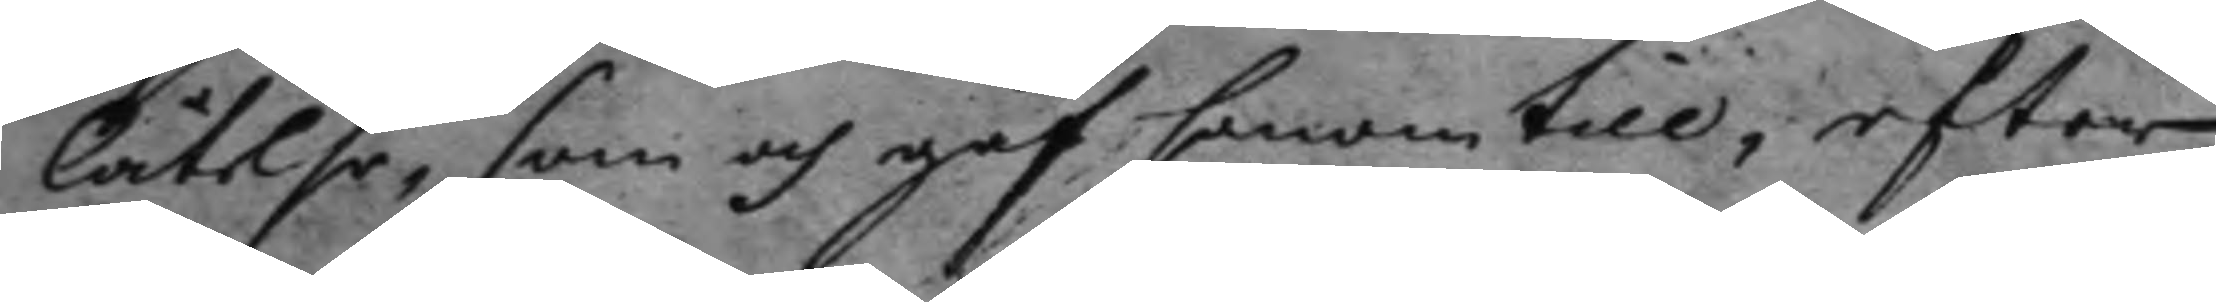låtelse, som och gaf honom till, efter
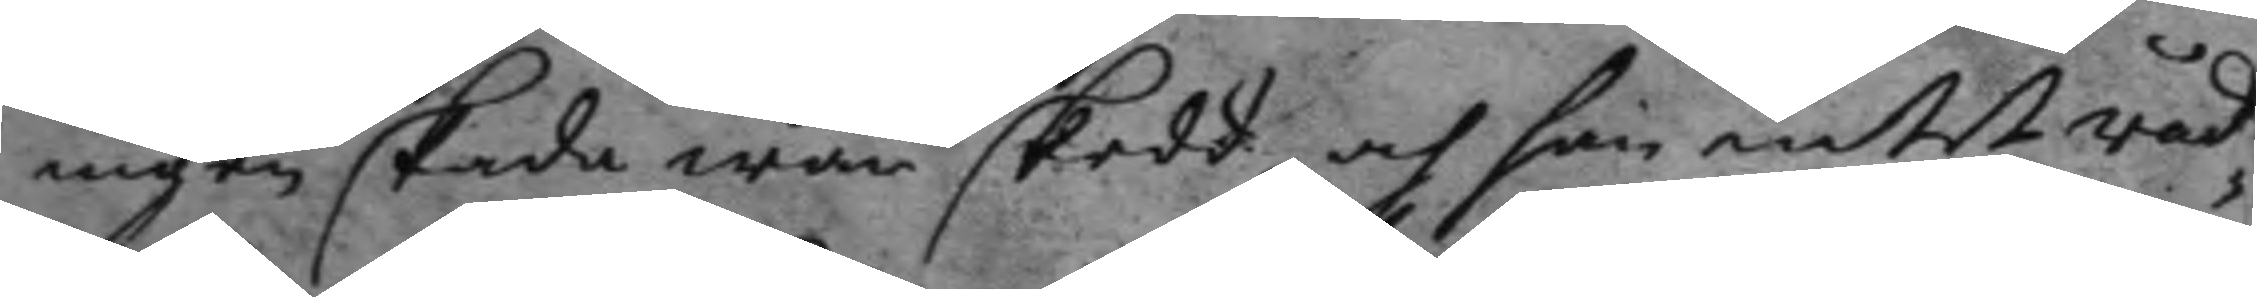ingen skada war skedd, och han intet råd¬
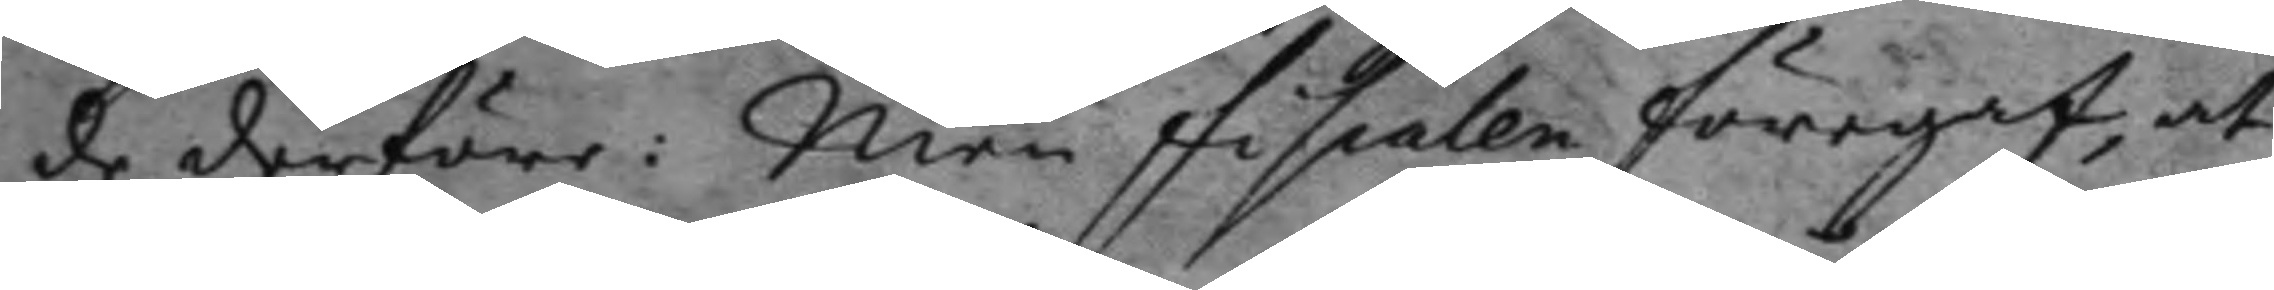de derföre: Men fiskalen föregaf, at
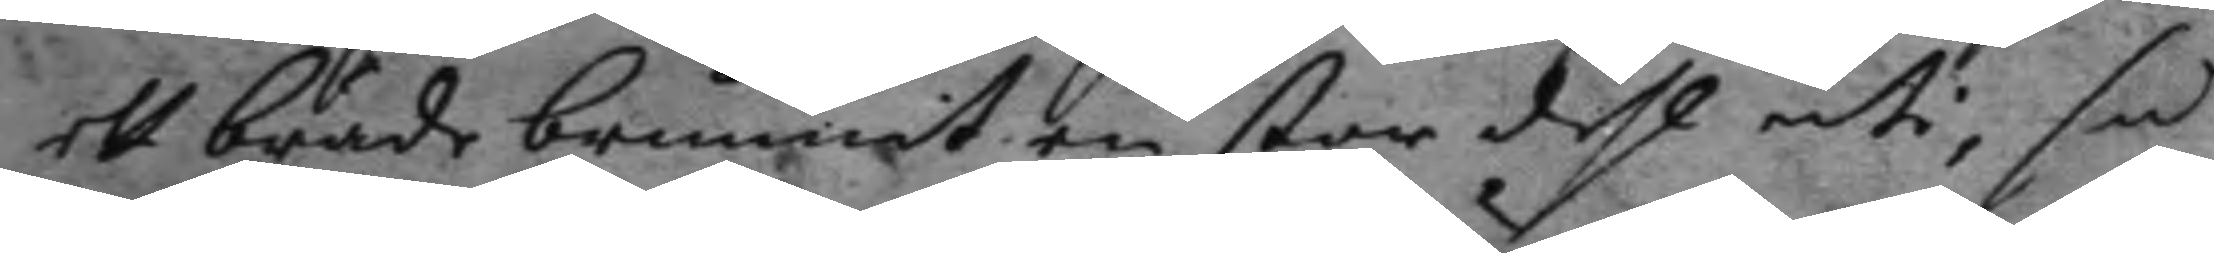ett bräde brunnit en stor dehl uti, så
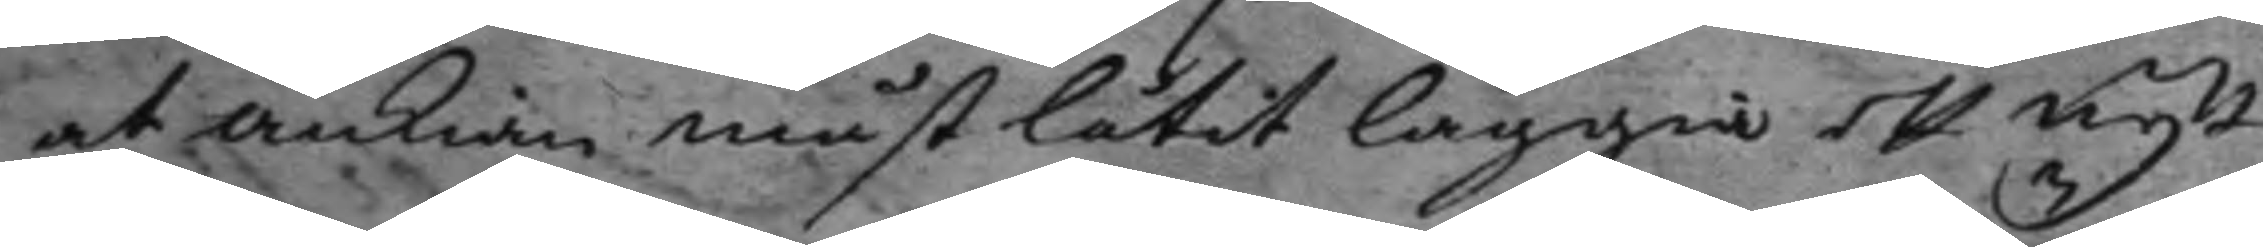at nkian måst låtit läggia ett nytt
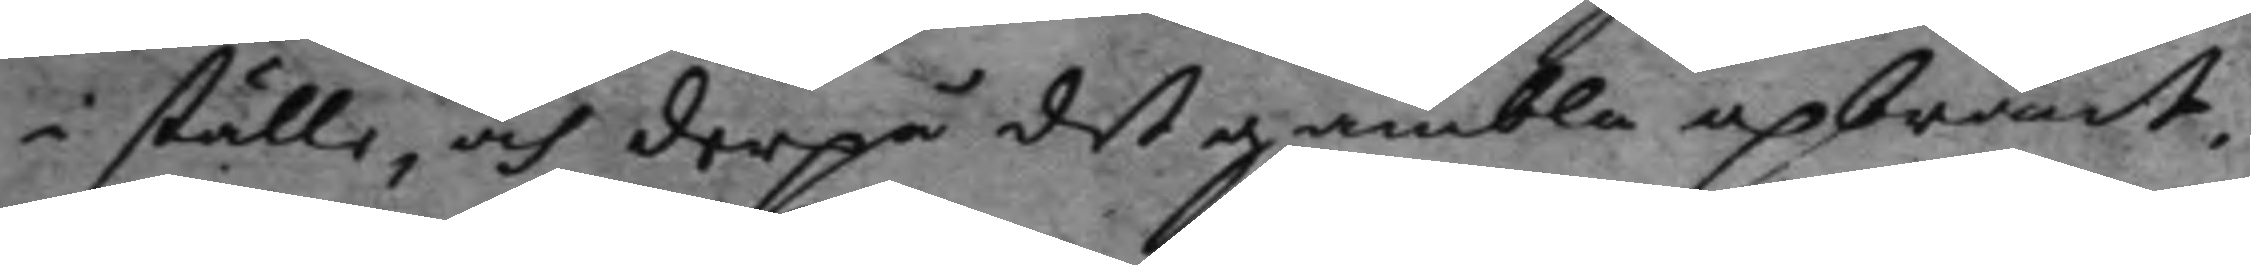i ställe, och derpå det gambla upbränt,
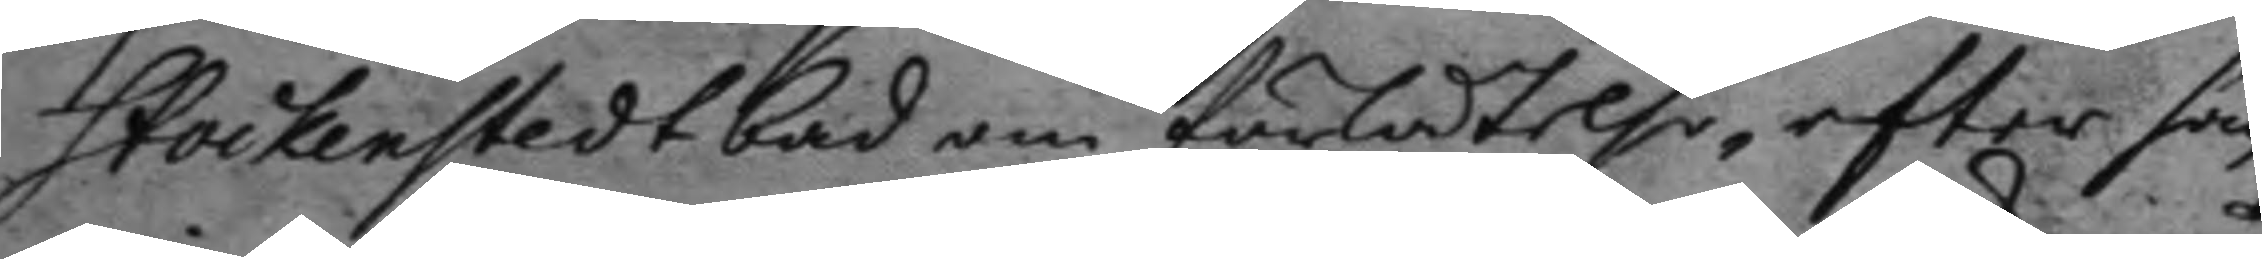Stockenstedt bad om förltelse, efter han
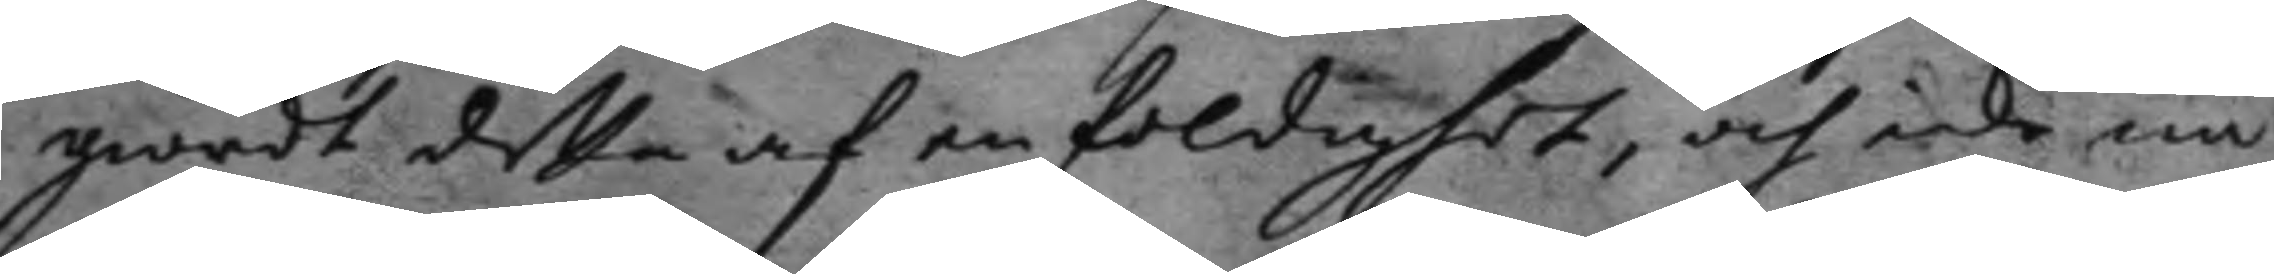giordt detta af en faldighet, och icke nå¬
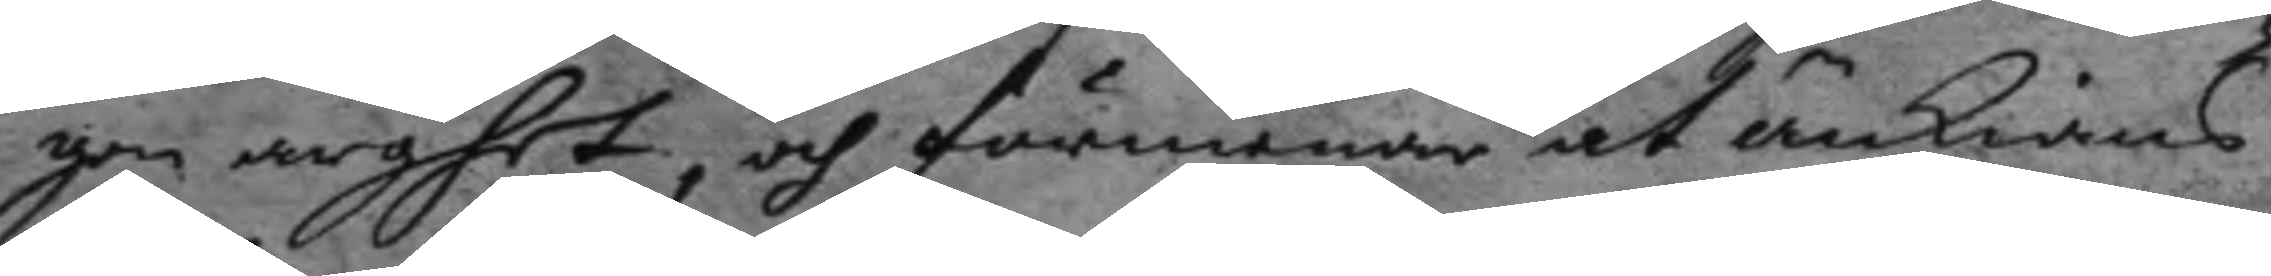gon arghet, och förmenar at änkians
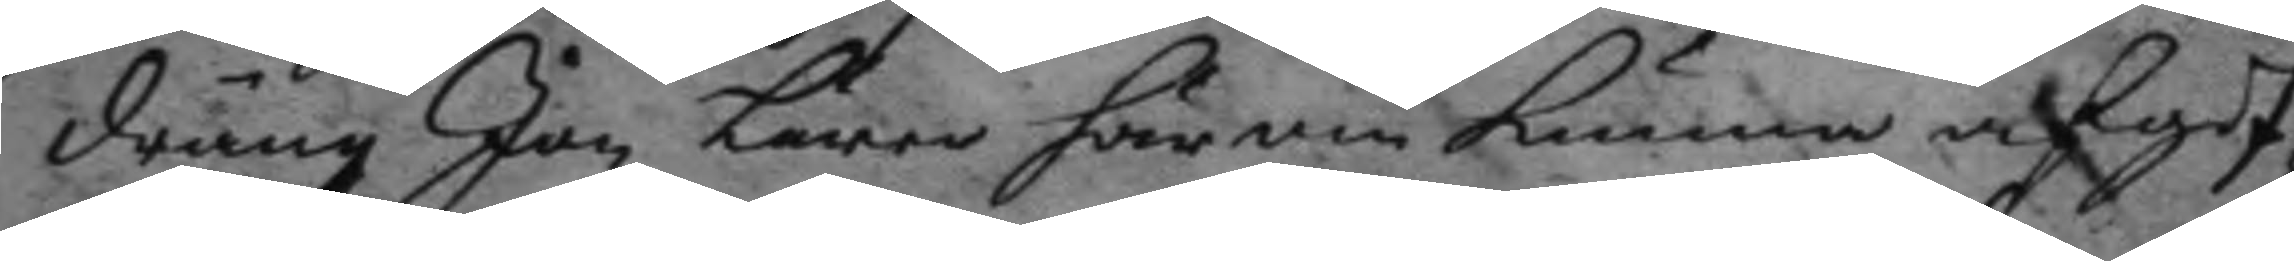dräng Jan Lärer härom kunna afgif¬
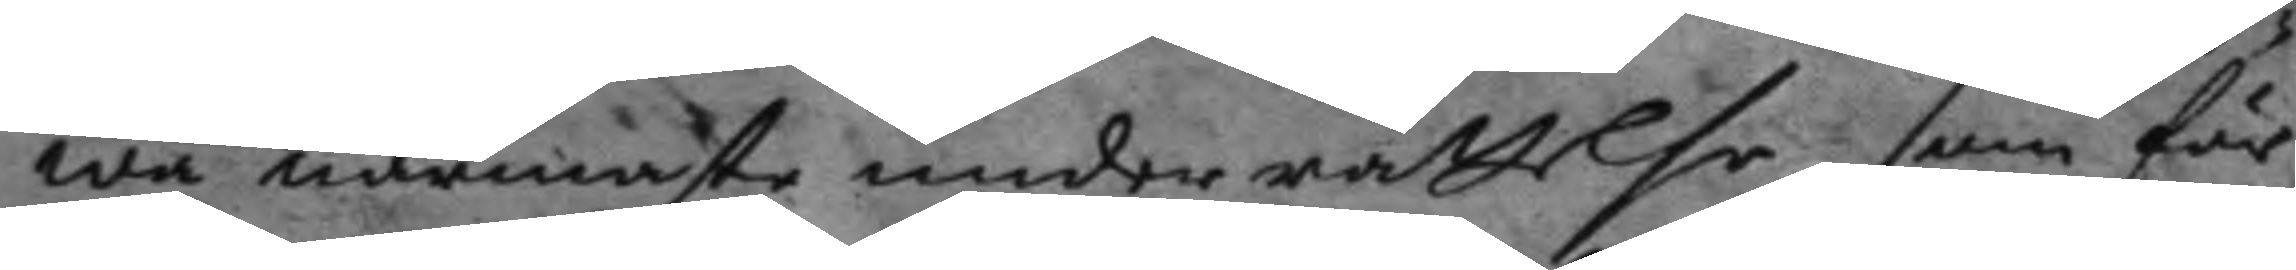wa närmaste underrättelse, som för
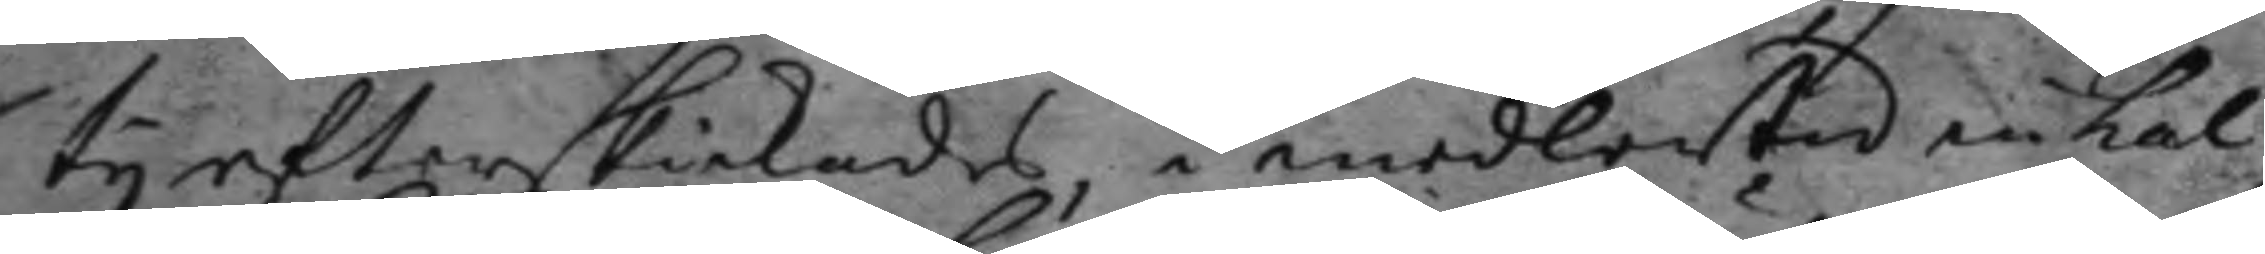ty efterskickades, i medlertid inkal¬
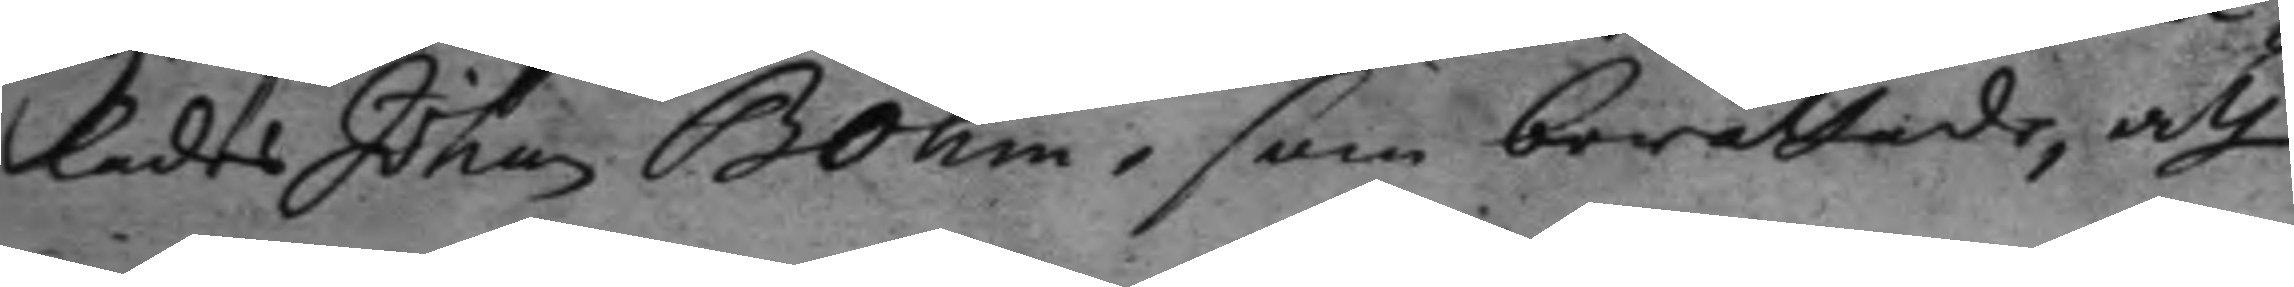lades Johan Bohm, som berättade, att
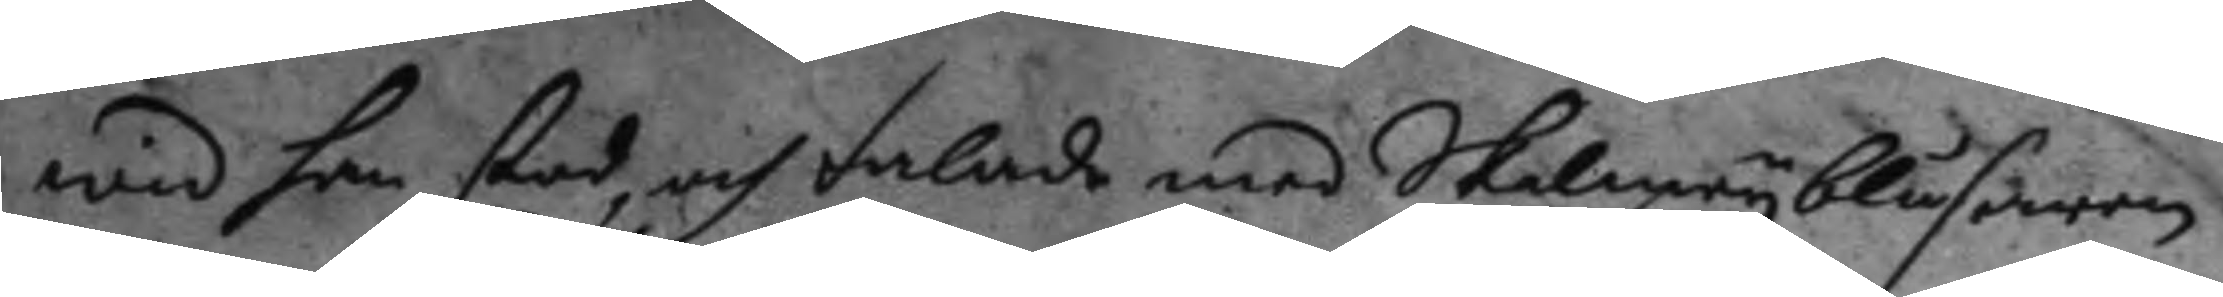wid han stod, och talade med Skalmeyblåsaren
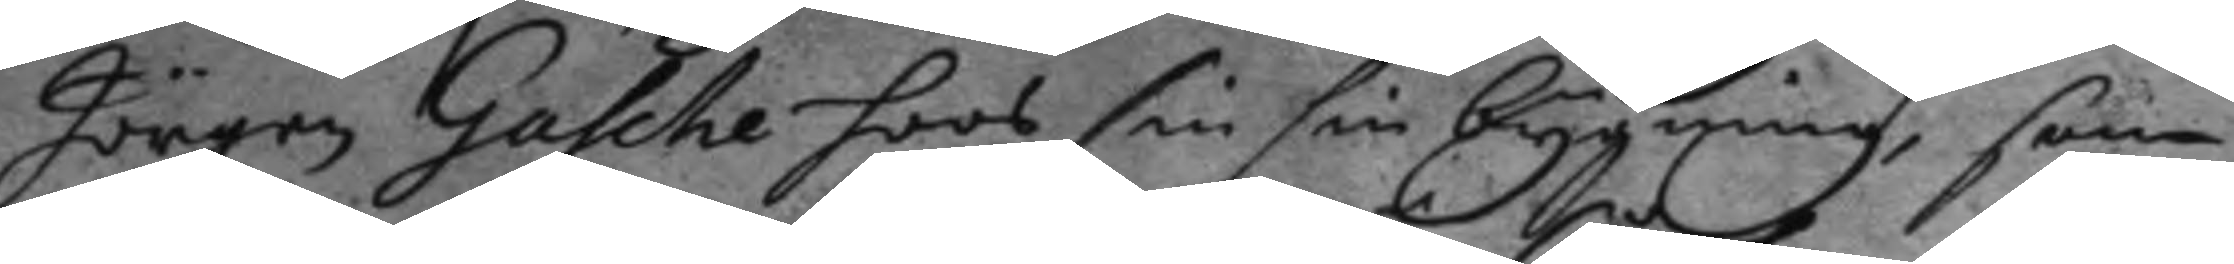Jörgen Gasche hoos sin sin bygning, som
